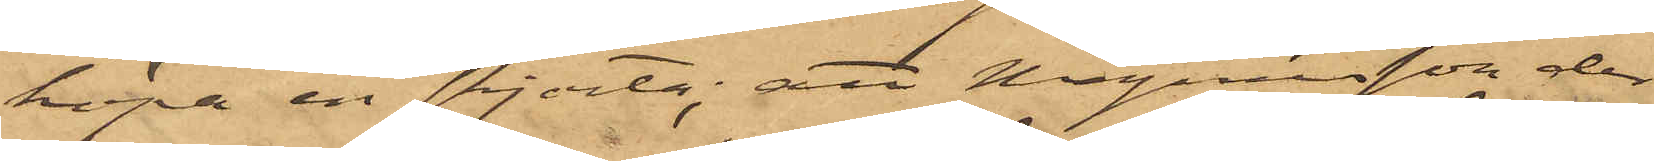köpa en skjorta; att Magnusson der
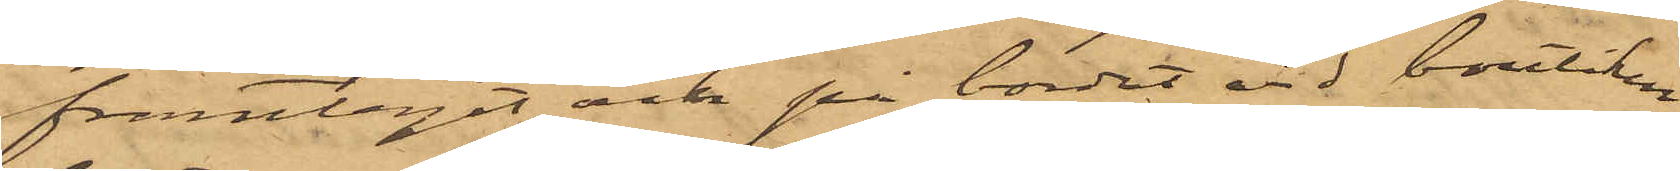framtagit och på bordet vid boutiken
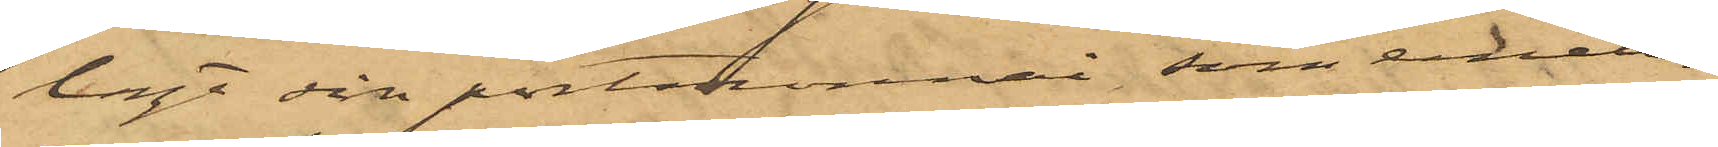lagt sin portmonnai, som emeller¬
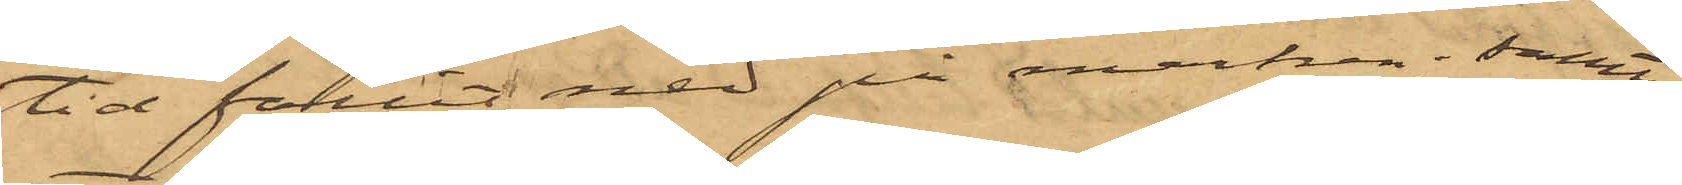tid fallit ned på marken; samt
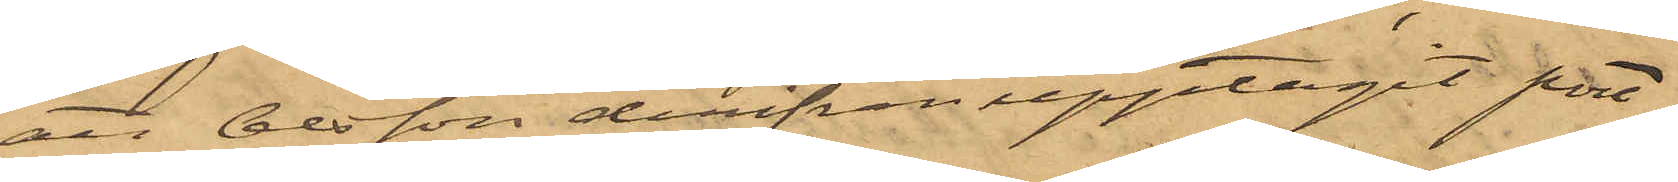att Olsson derifrån upptagit port¬
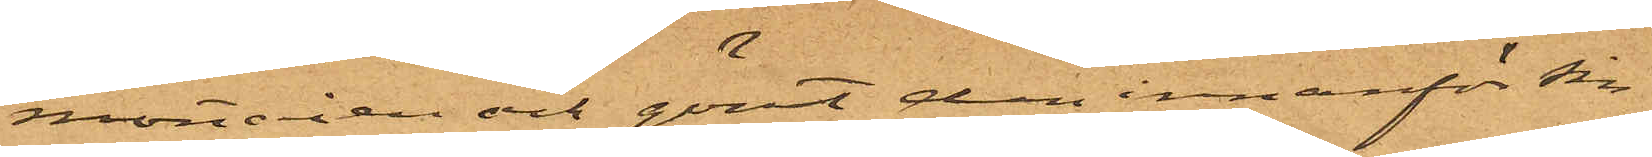montaien och gömt den innanför sin
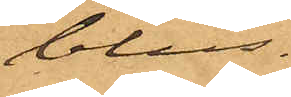blus.
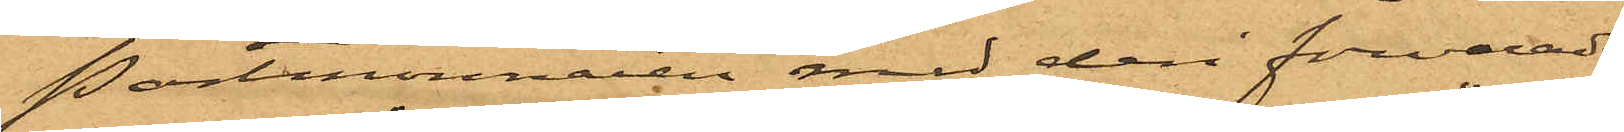Portmonnaien med deri förvarade
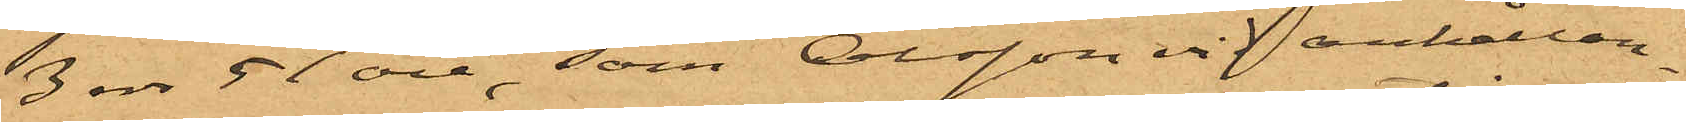3rdr 51 öre, som Olsson vid anhållan¬
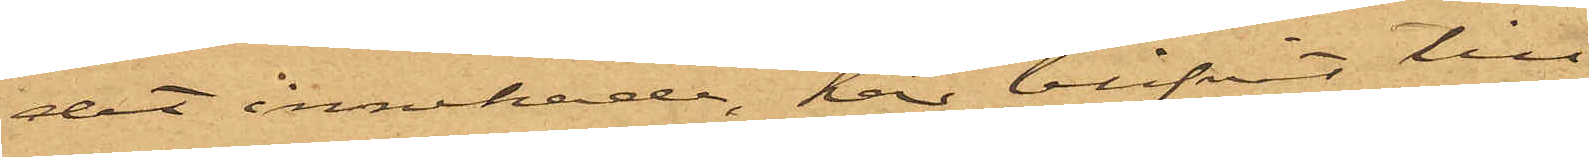det innehade, har blifvit till
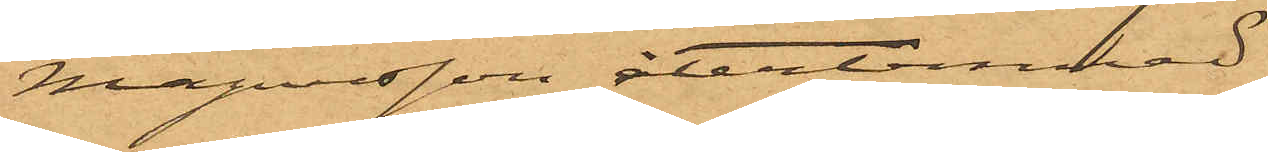Magnusson återlemnad.
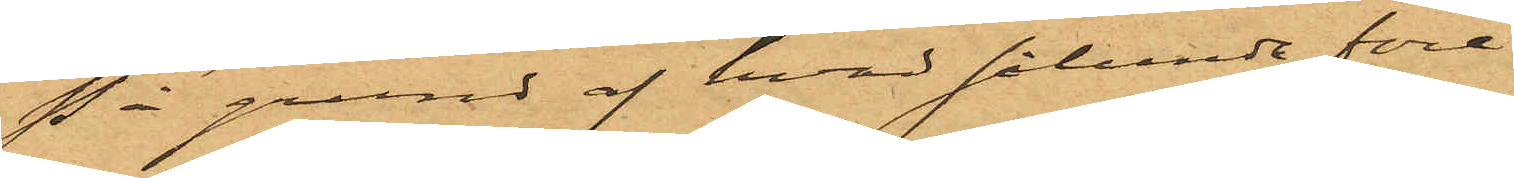På grund af hvad sålunda före¬
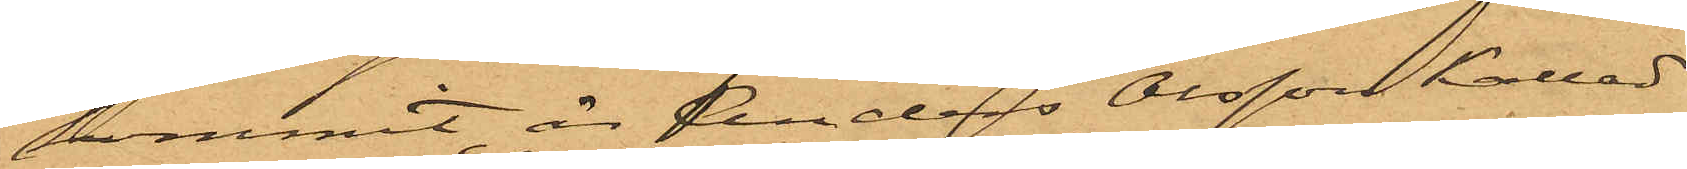kommit, är Anders Olsson kallad
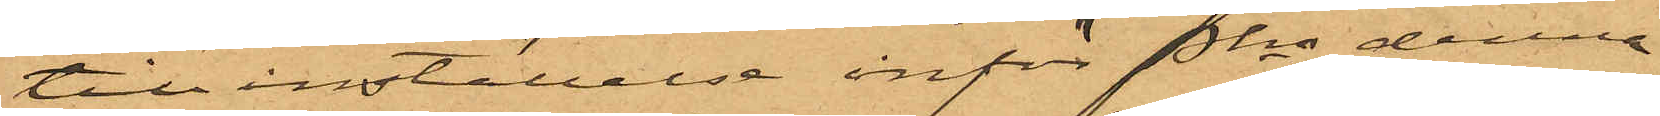till inställelse inför Pkn denna
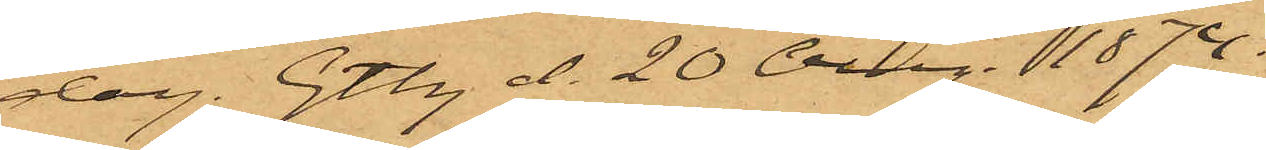dag. Gtbg d. 20 Aug. 1874
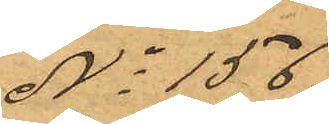No 156
